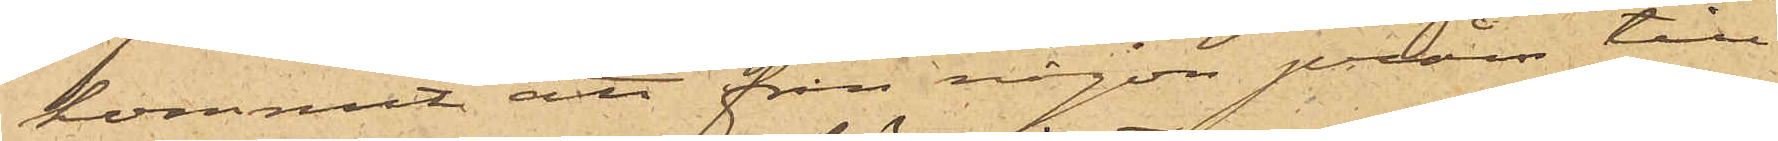kommit att från någon pråm till¬
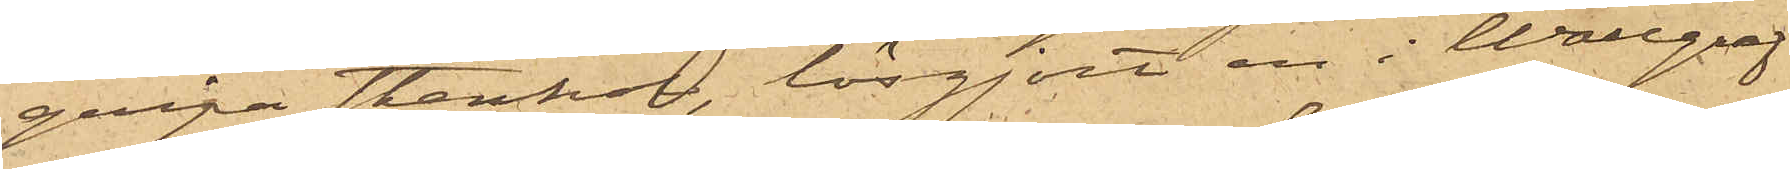gripa stenkol, lösgjort en i Wallgraf¬
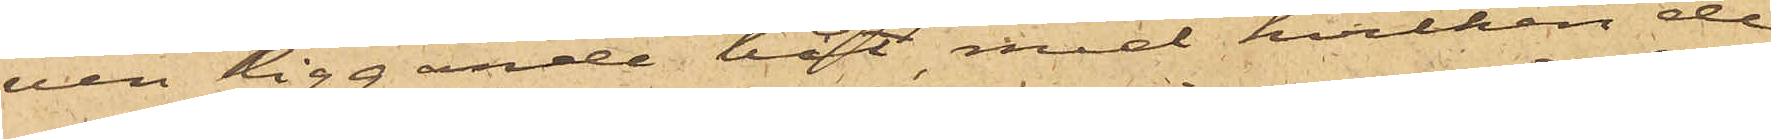ven liggande båt, med hvilken de
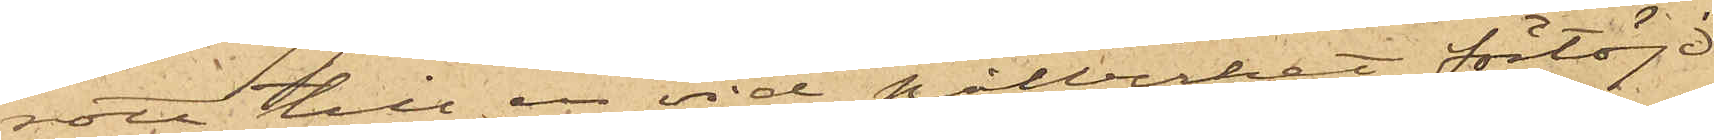rott till en vid pitvirket förtöjd
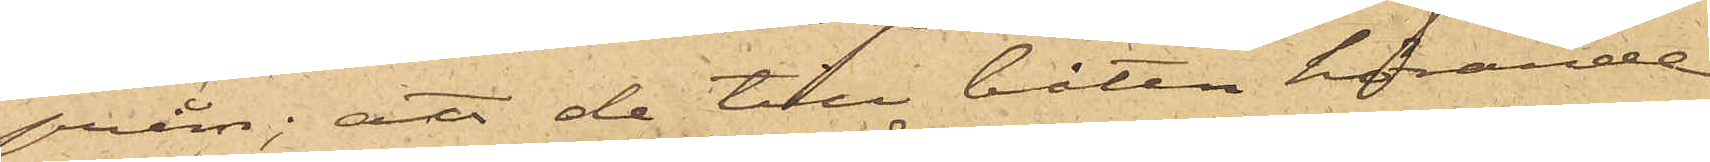pråm; att de tilll båten hörande
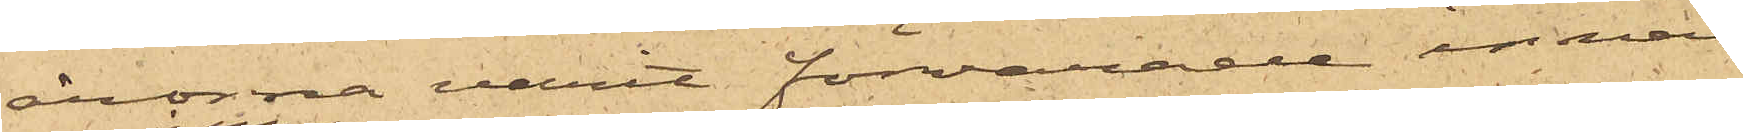årorna varit förvarade innan¬
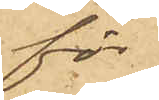för
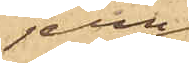jern¬
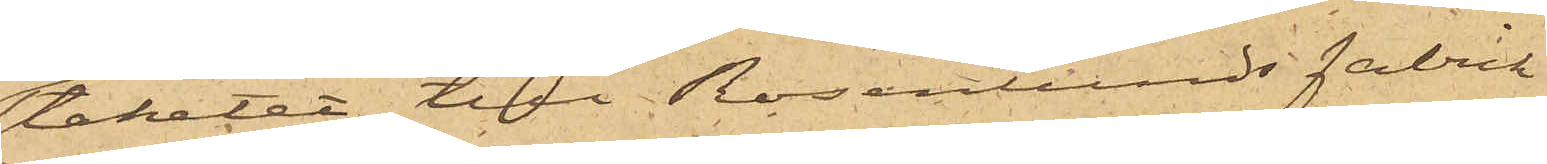staketet till Rosenlunds fabrik
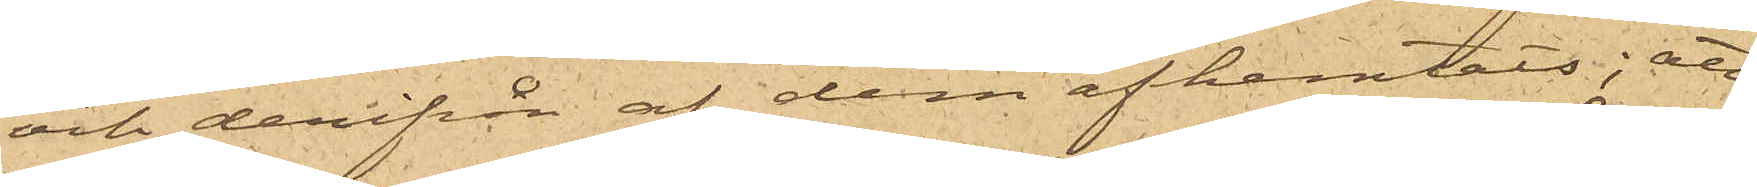och derifrån af dem afhemtats; att
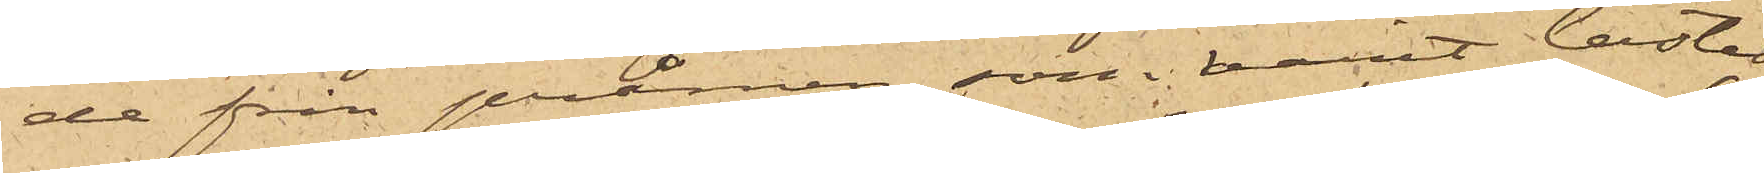de från pråmen, som varit lastad
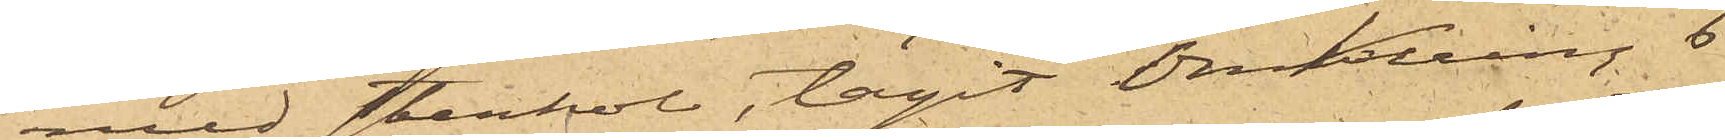med stenkol, tagit omkring 6
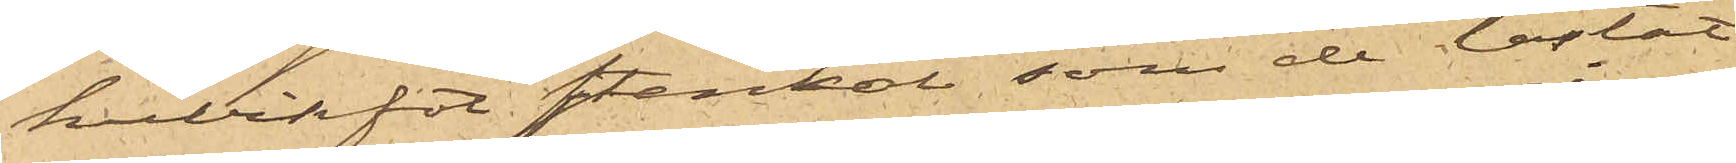kubikfot stenkol som de lastat
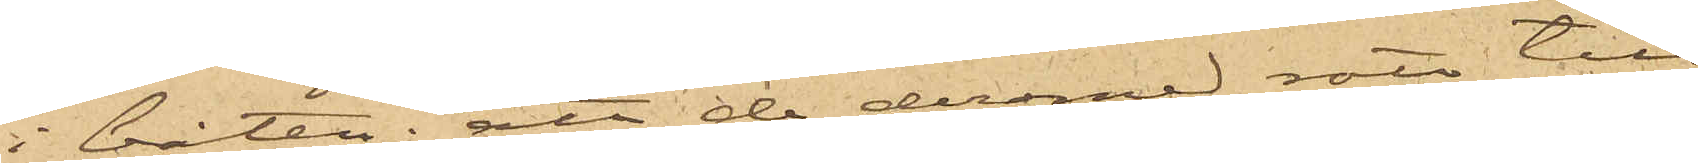i båten; att de dermed rott till
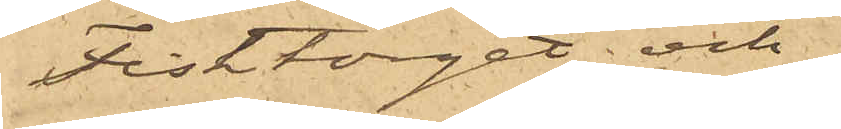Fisktorget och
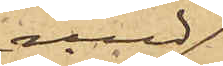med
